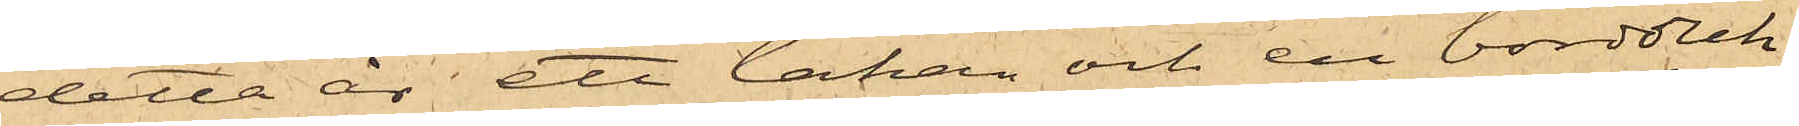detta år ett lakan och en bordduk
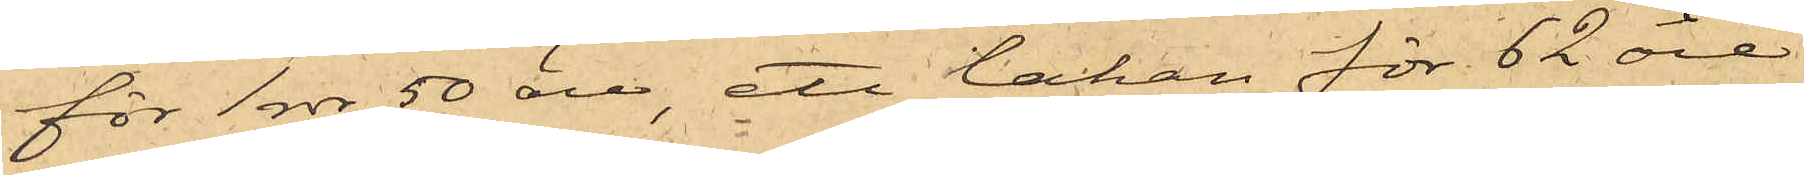för 1 rdr 50 öre, ett lakan för 62 öre
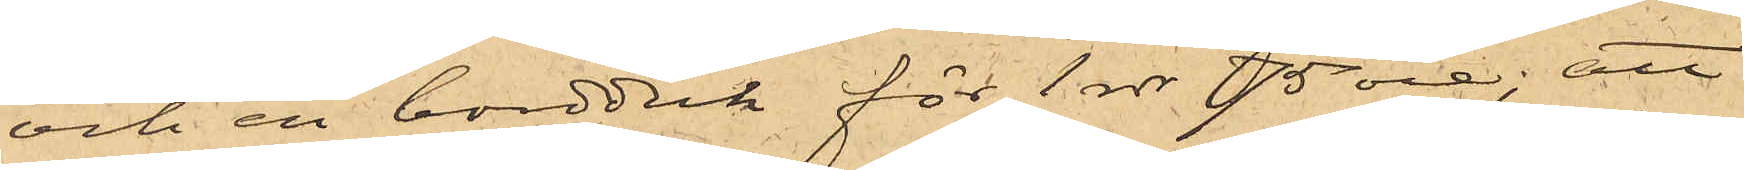och en bordduk för 1 rdr 75 öre; att
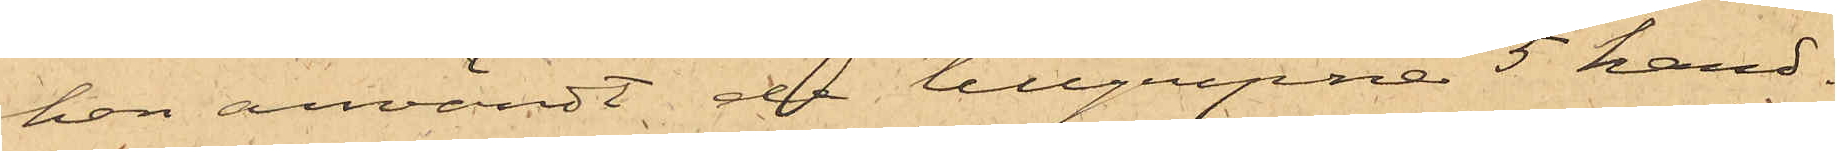han användt de tillgripne 5 hand¬
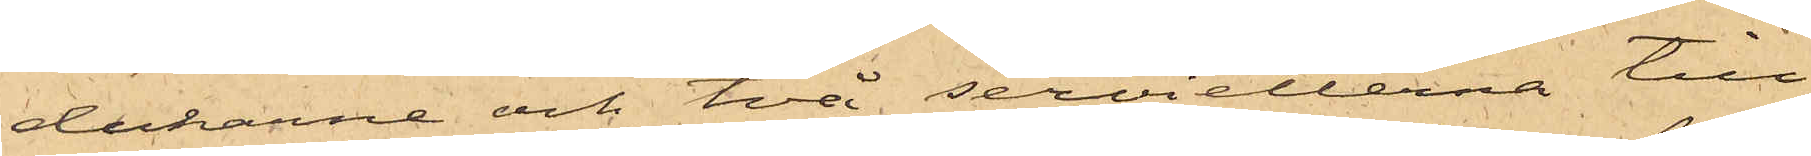dukarne och två servietterna till
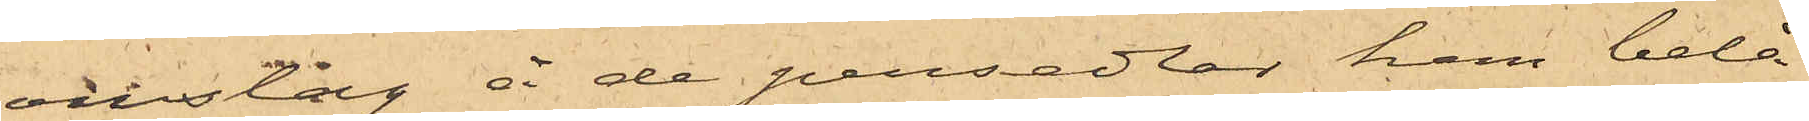omslag å de persedlar han belå¬
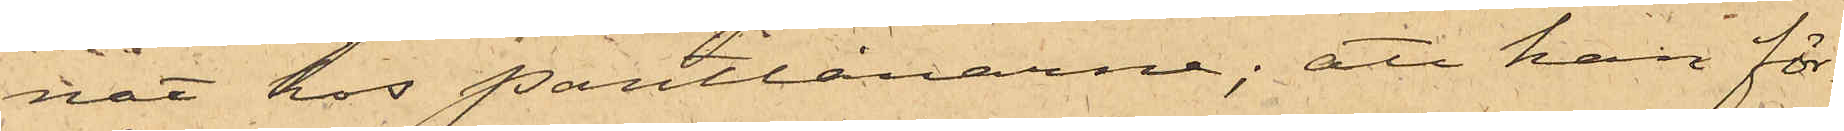nat hos Pantlånarne; att han för¬
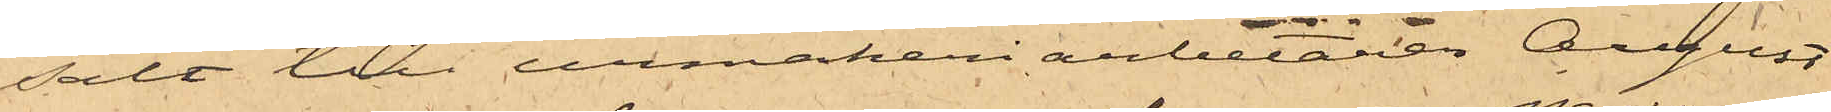sålt till urmakeriarbetaren August
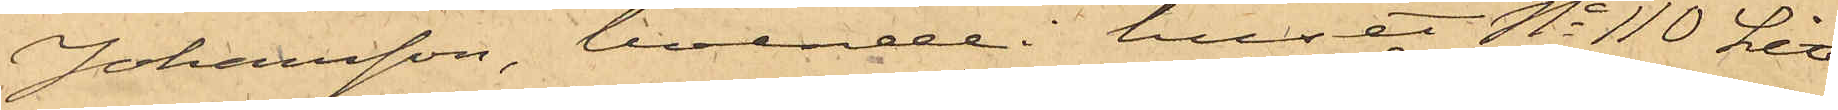Johansson, boende i huset No 110 Litt
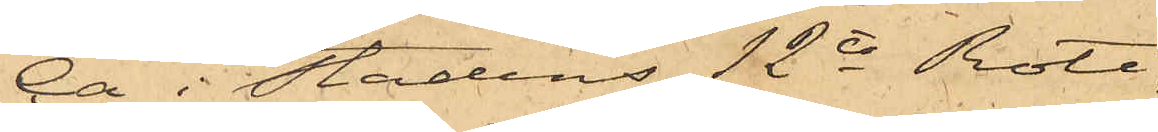Ca i Stadens 12te Rote,
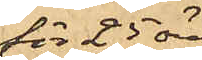för 25 öre
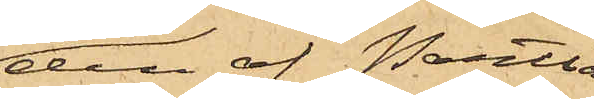den af Pantlå¬
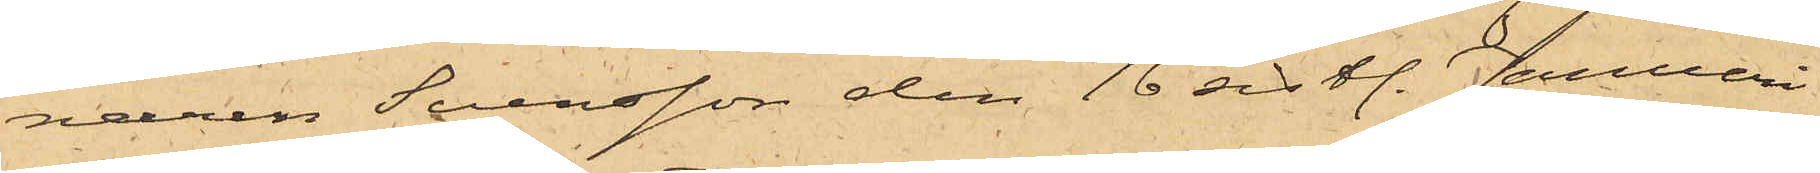naren Svensson den 16 sistl. Januari
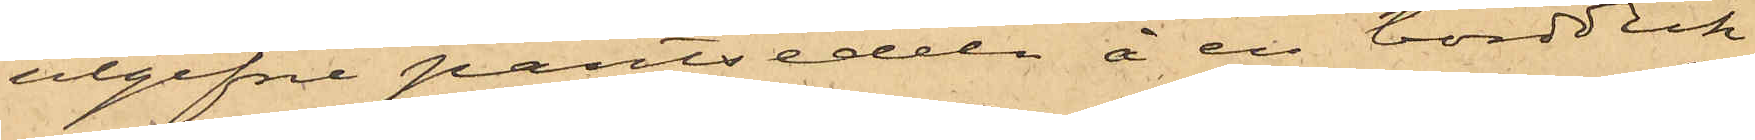utgifne pantsedeln å en bordduk
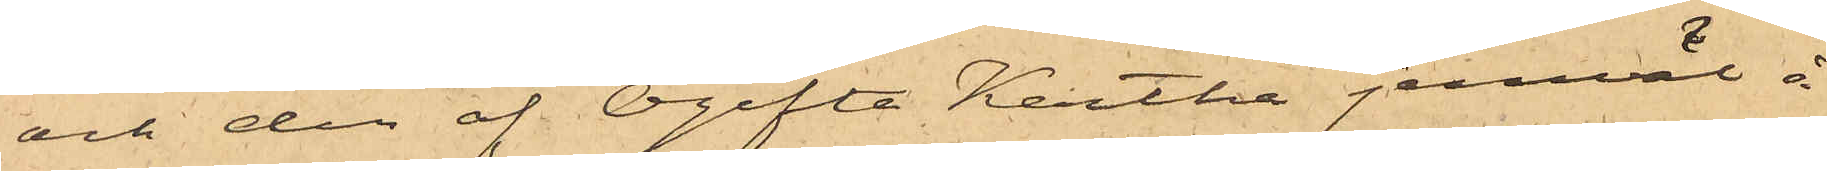och den af Ogifta Kartha jemväl å
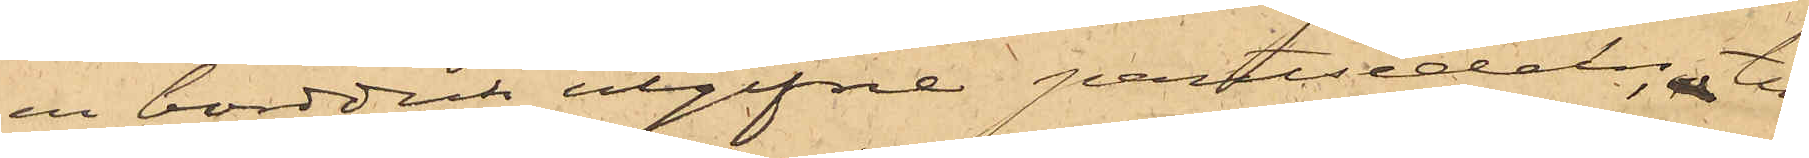en bordduk utgifne pantsedel; till
